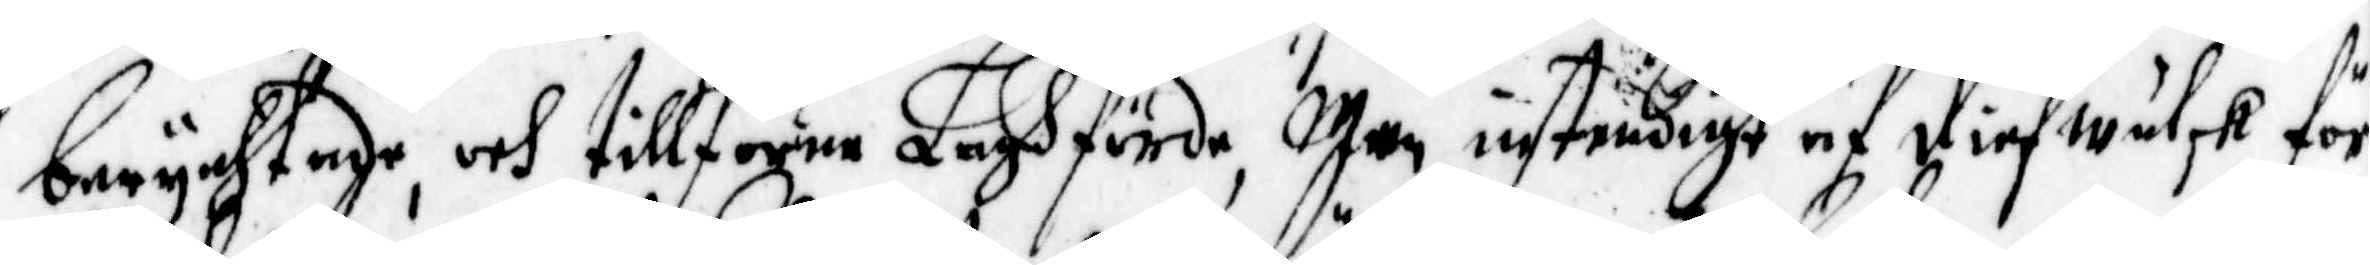berychtade, och tillförne Laghförde, Men instendigt af diefwulsk för¬
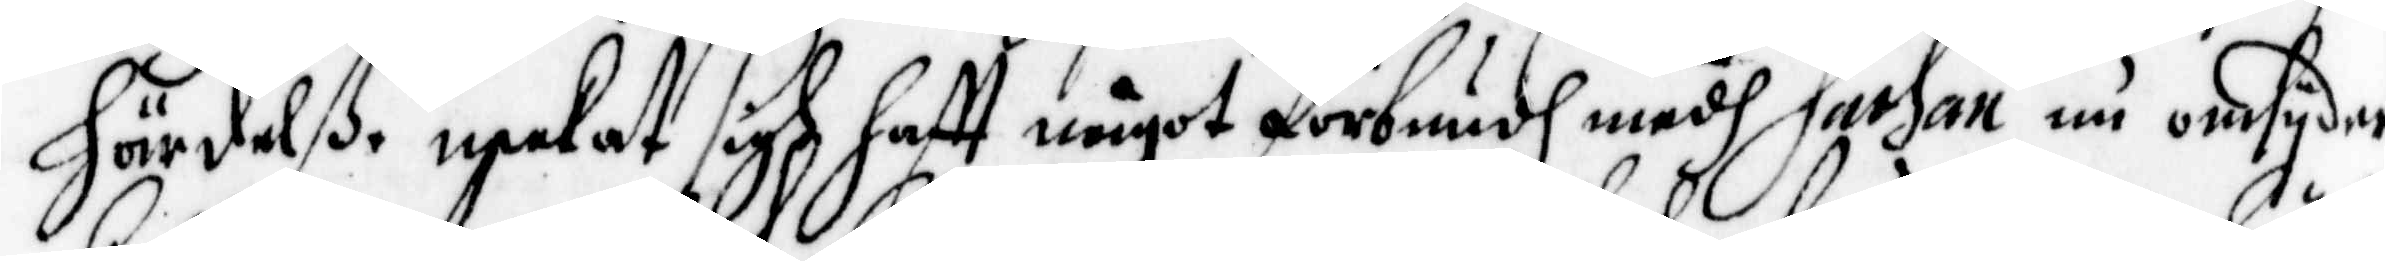härdelße neekat sigh hafft något förbundh medh Satgan nu omsyder
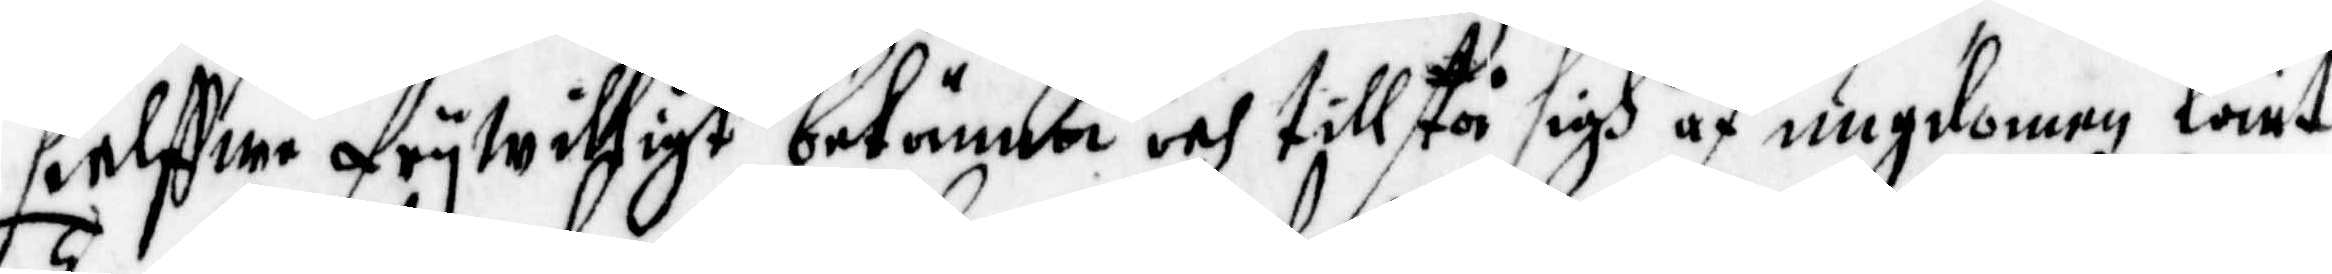sielffwe frywilligt bekänna och tillstå sigh af ungdomen lärt
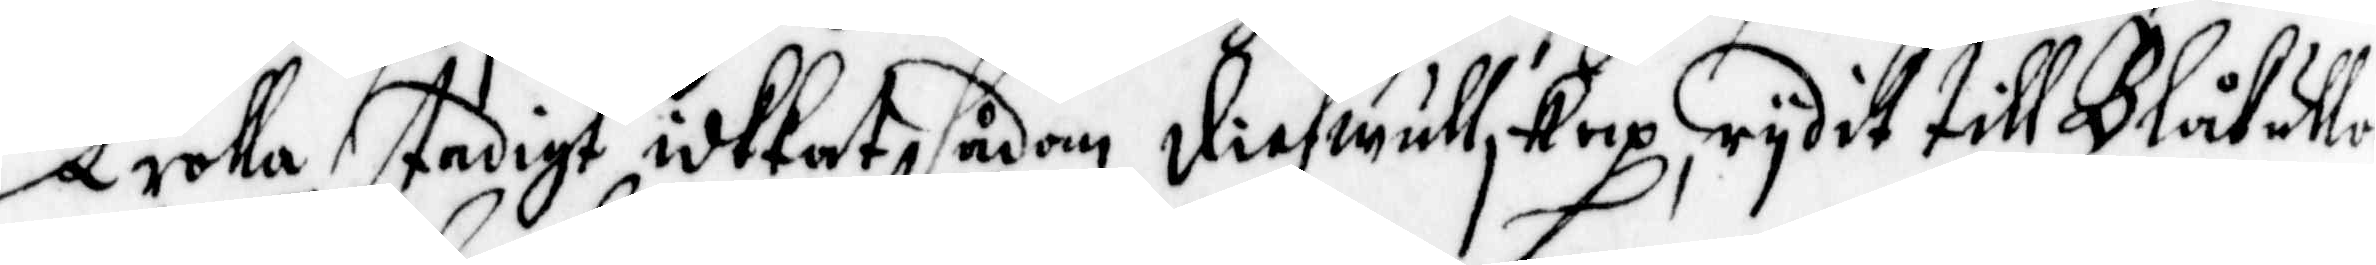Trolla, stadigt idkkat sådan diefwullskap, rydit till Blåkulla 
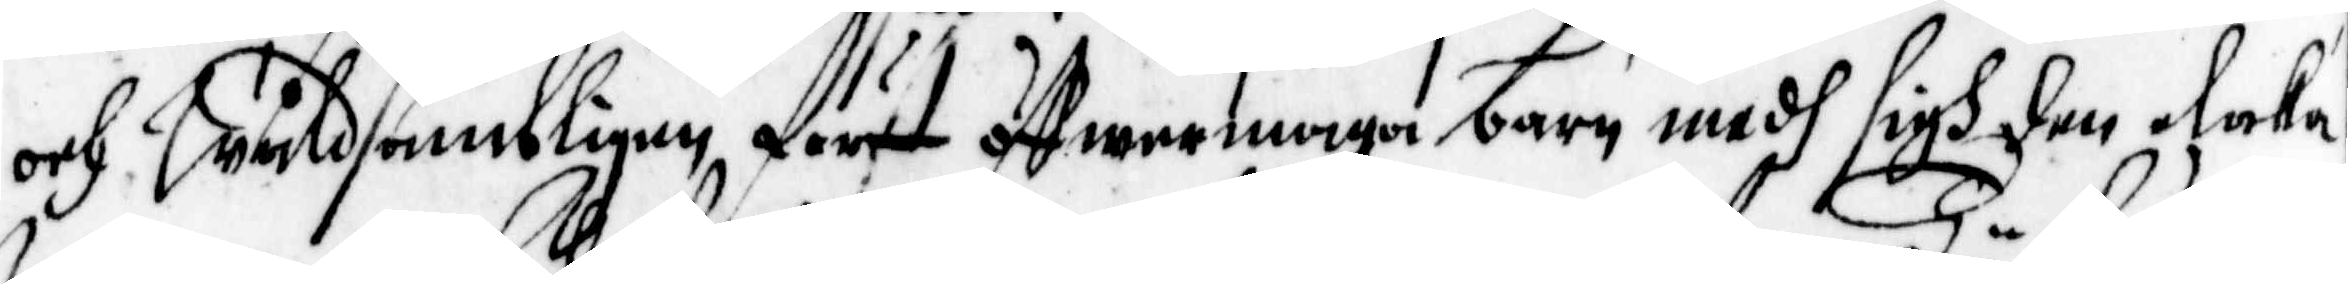och Wåldsambligen fört öffwermaga barn medh sigh den elaka 
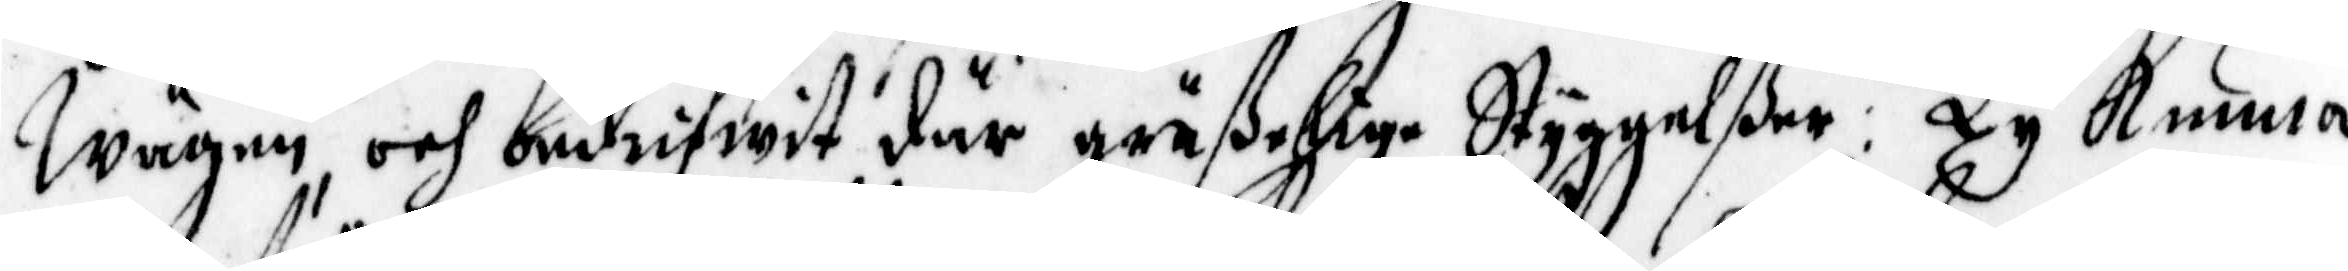wägen, och bedrifwit där gräselige Styggelßer: Ty Kunna
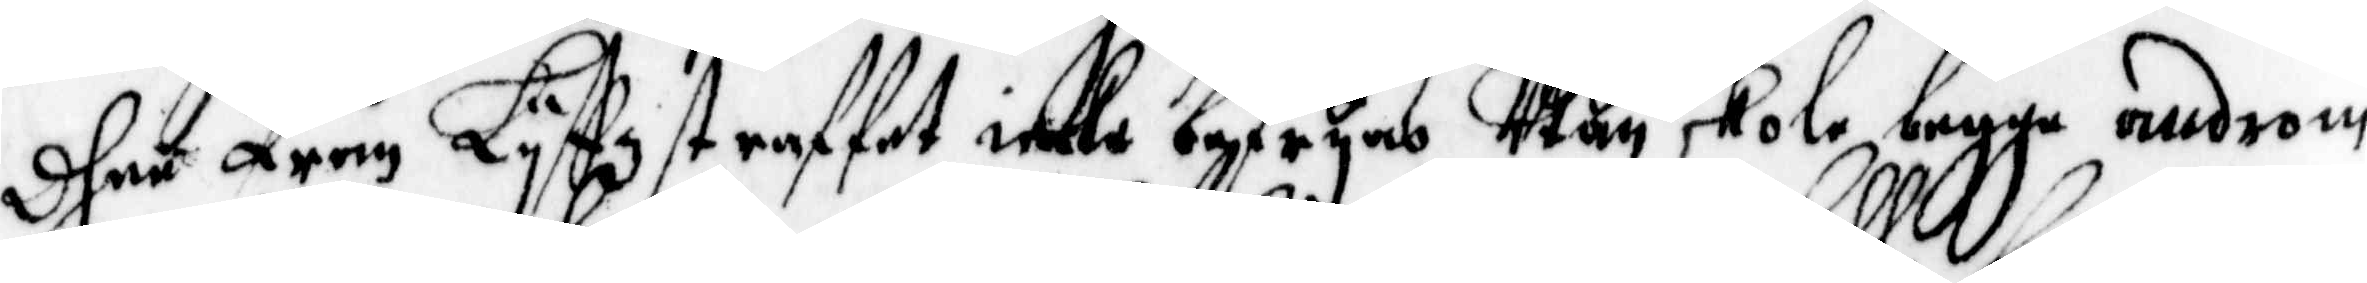dhe från Lyffzstraffet icke befryas Utan skola begge androm
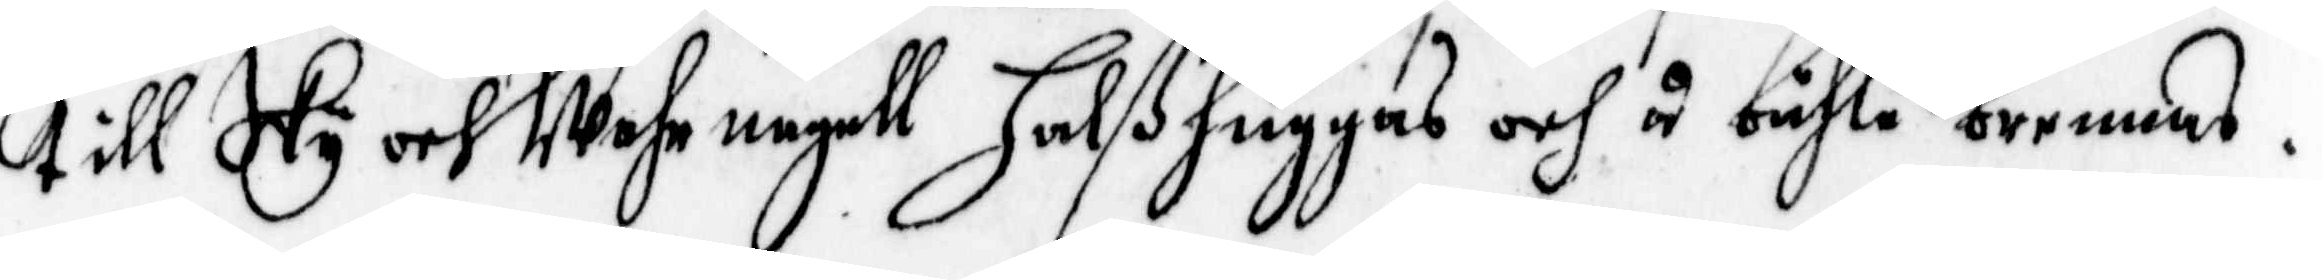till Sky och Wahrnagell halshuggas och å båhle brennas.
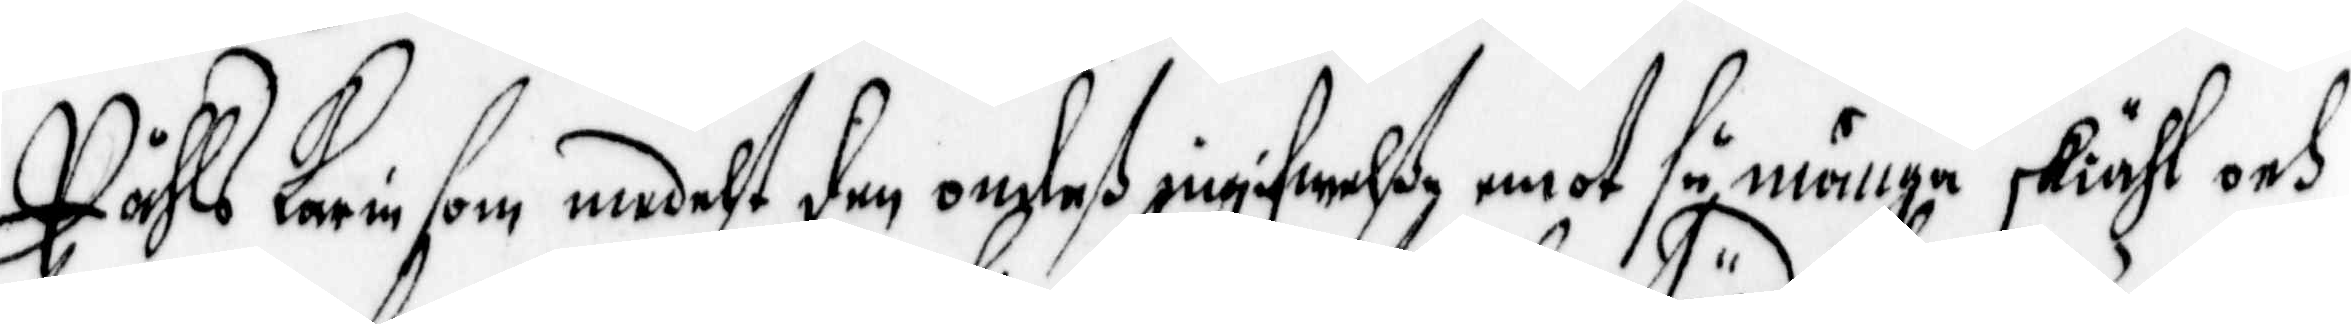Påhls karin som medelst den ondas ingifwelße emot så många skiähl och
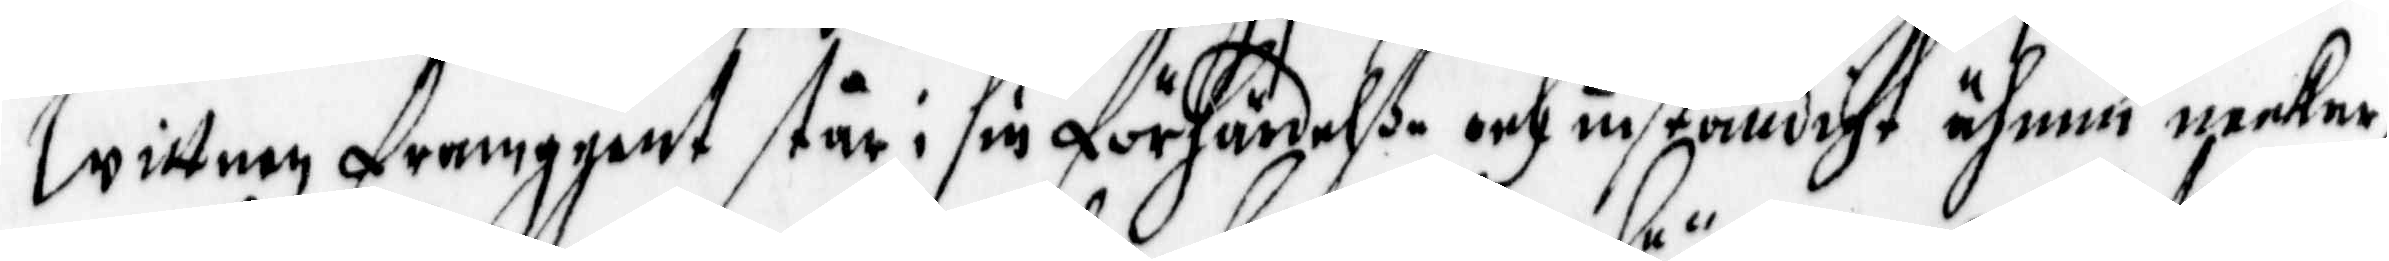wittnen framgent stpr i sin förhärdelße och inständigt ähnnu neekar,
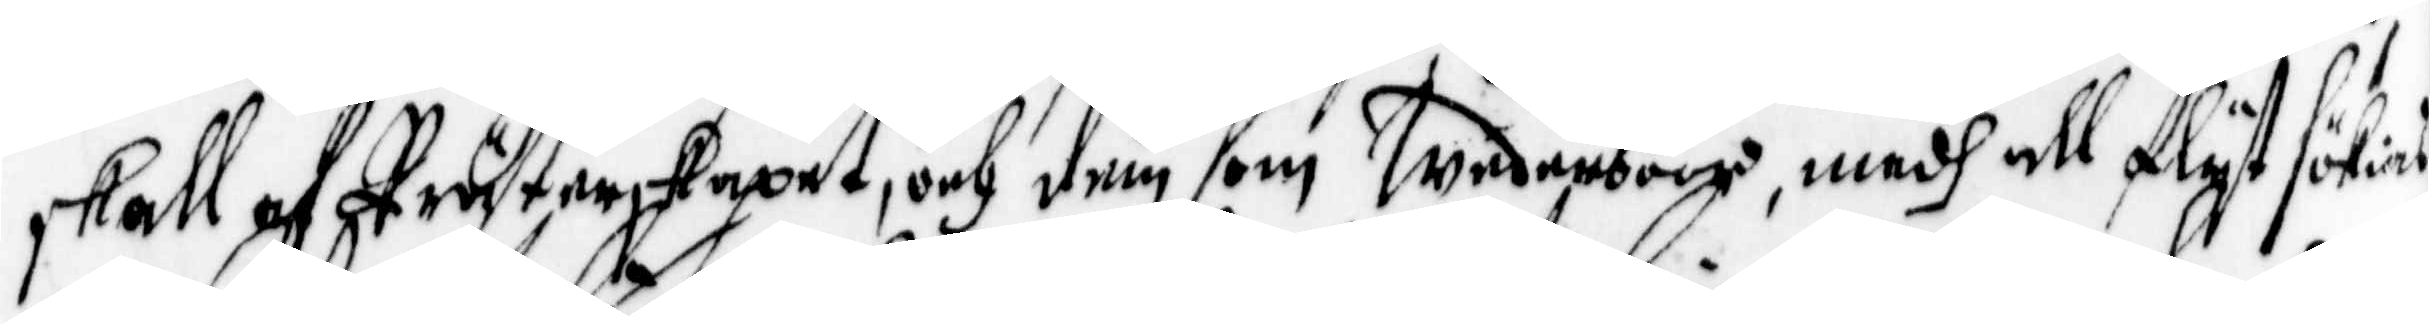skall af prästerskapet, och den som Wederböör, medh all flyt sökias
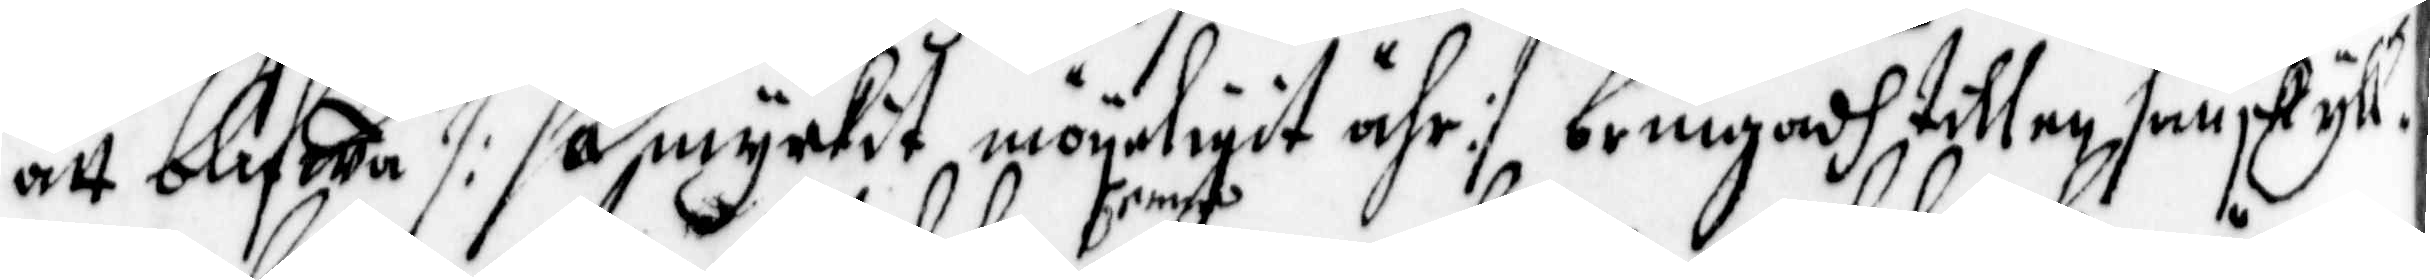att blifwa /: så myckit mögeligit ähr :/ bringadh till en sanskyll¬
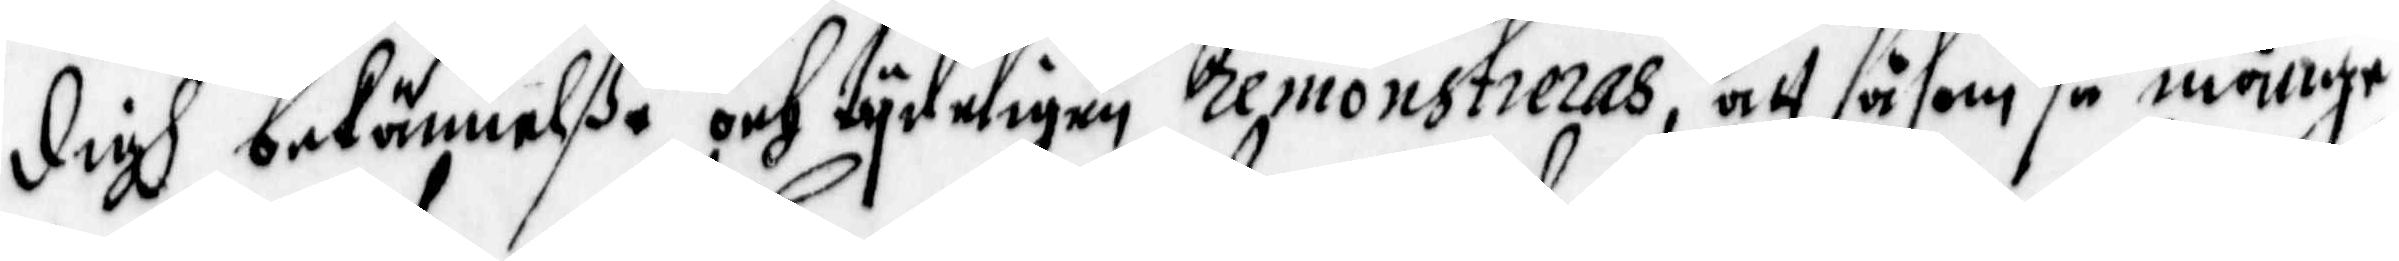digh bekännelße och tydeligen .. remonstreras, att såsom så månge
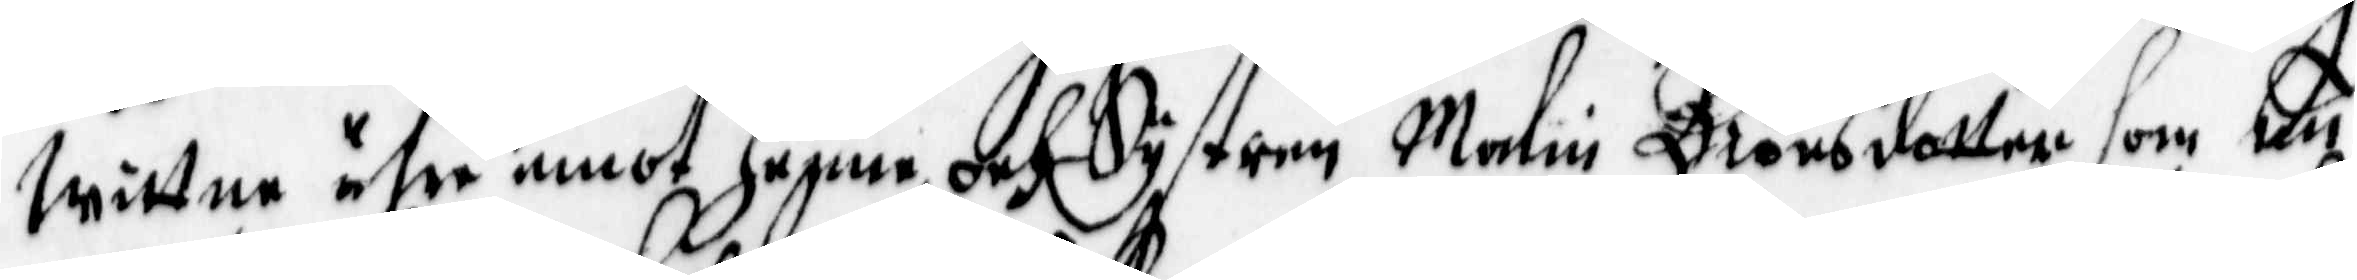Wittne ähre emot henne och systren Malin Biörsdotter som nu
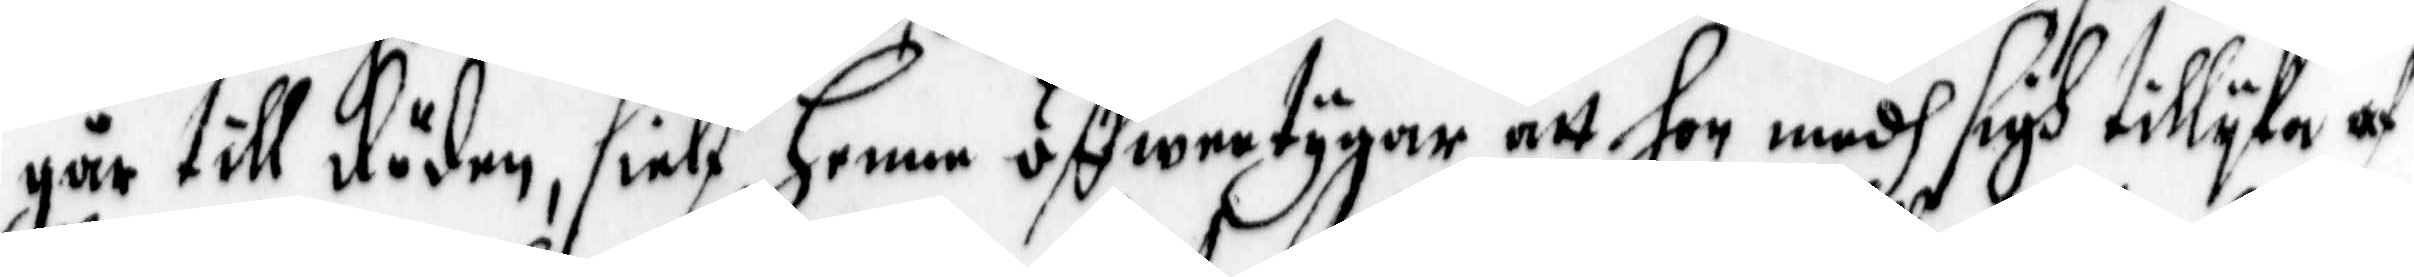går till döden, sielf henne öffwertygar, att hon medh sigh tillyka af
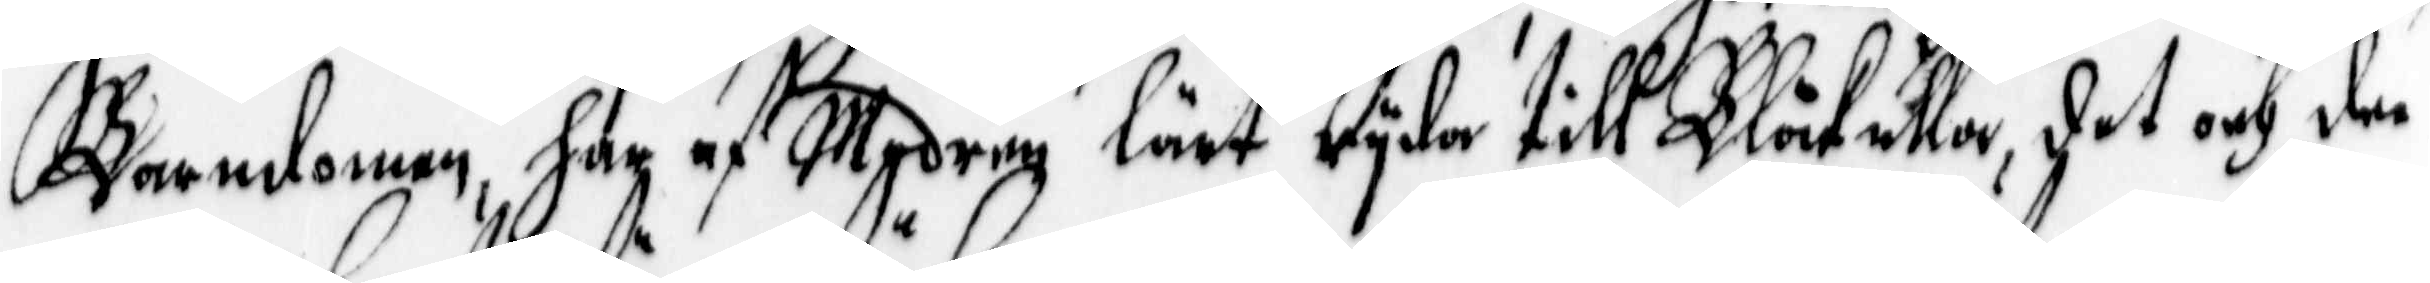Barndomen, har af Modren lärt ryda till Blåkulla, det och dee
